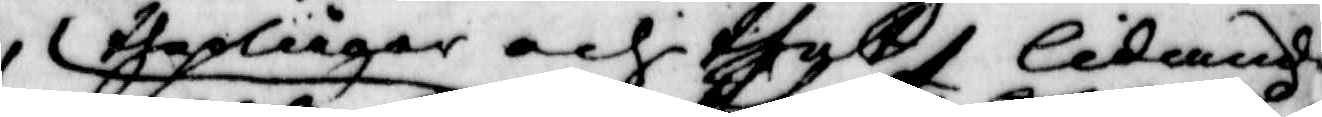the plågor thet lidande
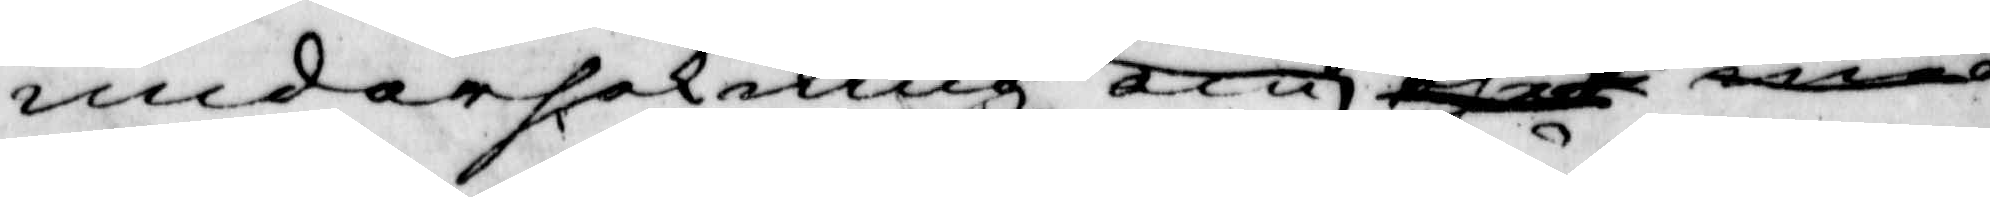undersökning om thet med¬
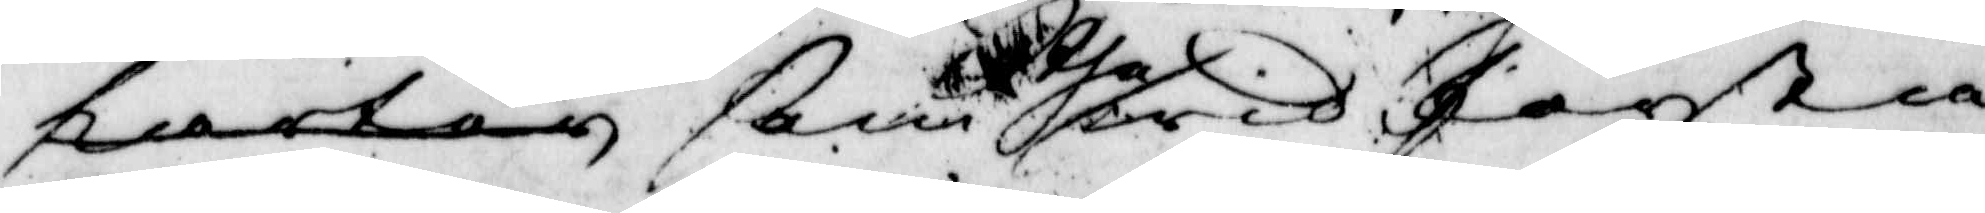parten ßom the wid första
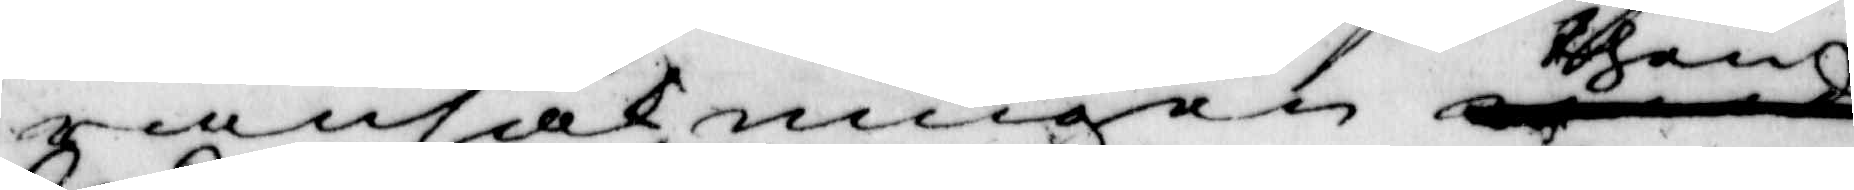ransakningen them
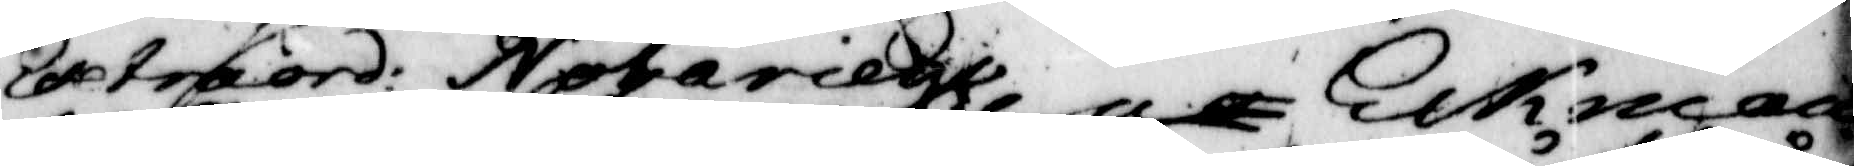Extraord: Notarien Eckman
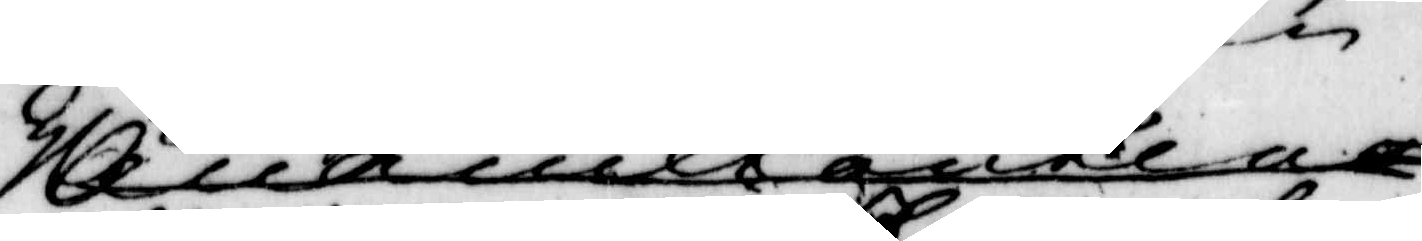Annnle ankla
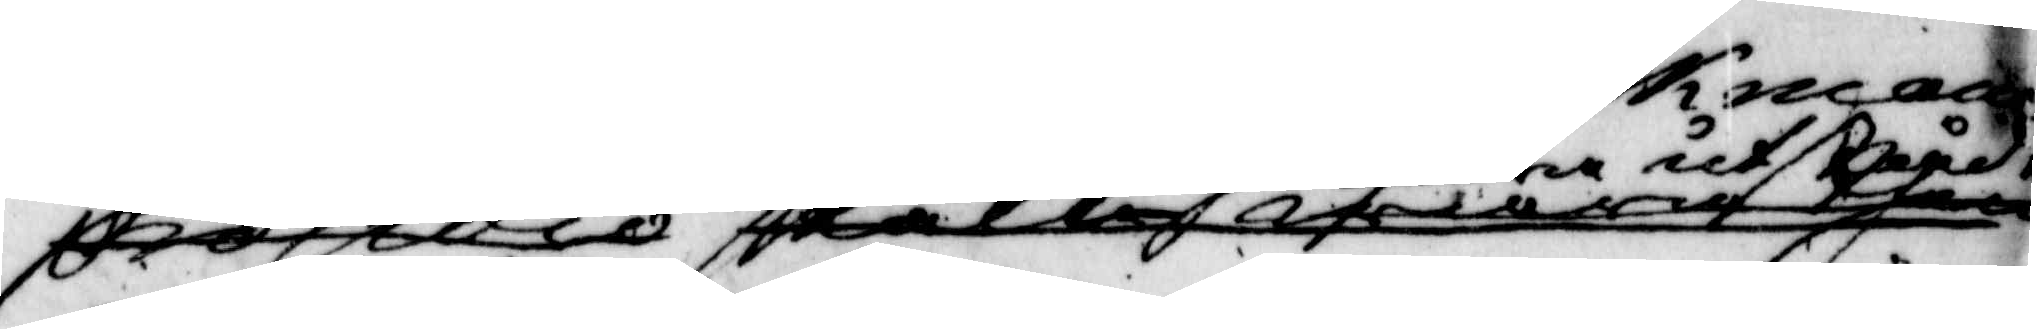presidio skall hafwa them
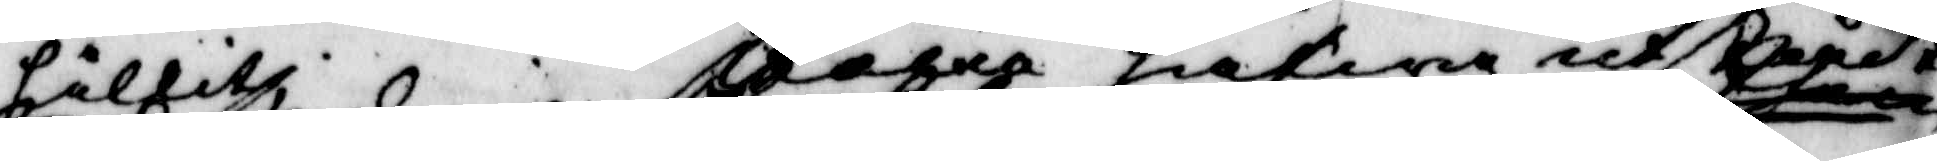hållitz slagna hafwa utståent
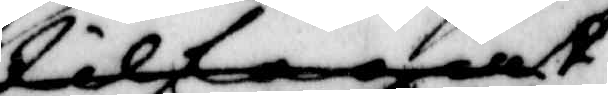tilfogat
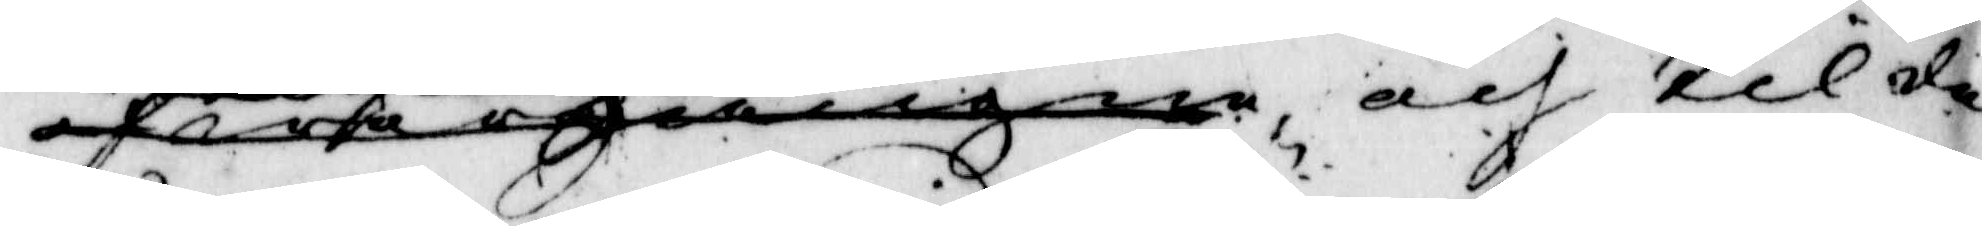öfwergången och til den
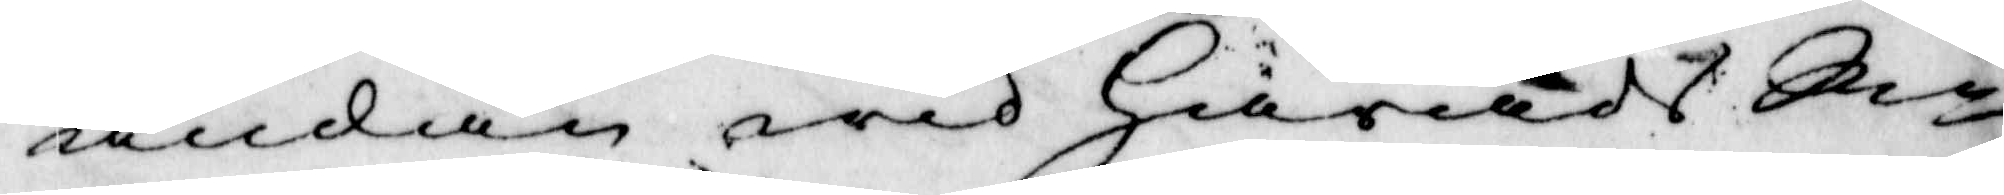ändan wid Härads Rn
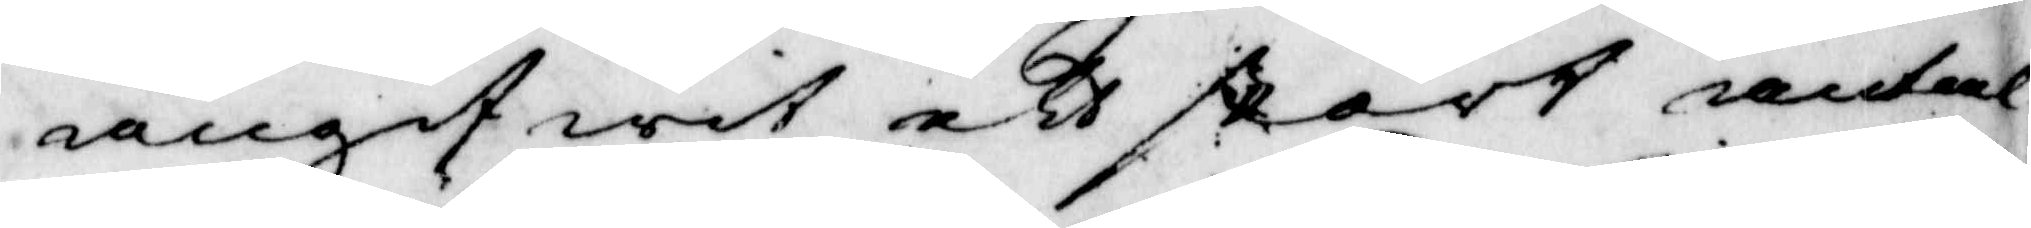angifwit ett stort antal
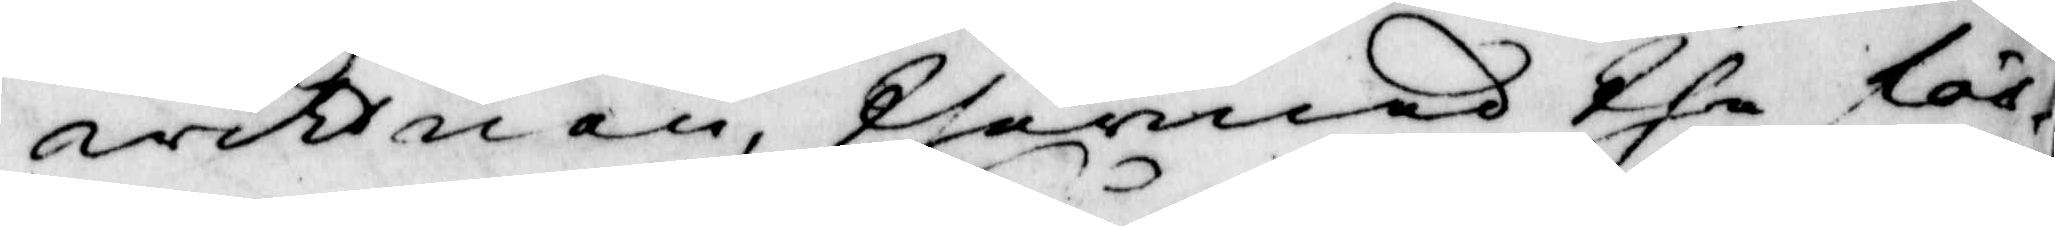widtnen thermed the för¬
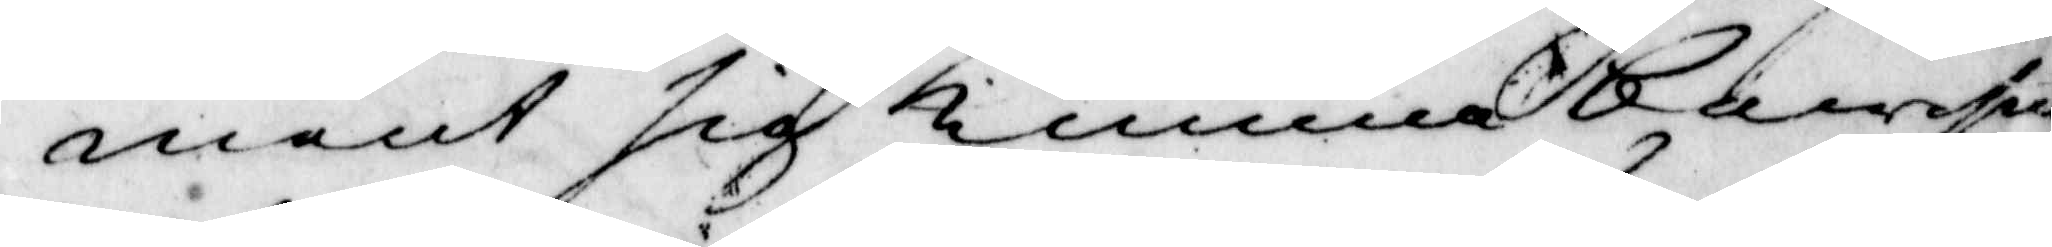ment sig kunna bewis¬
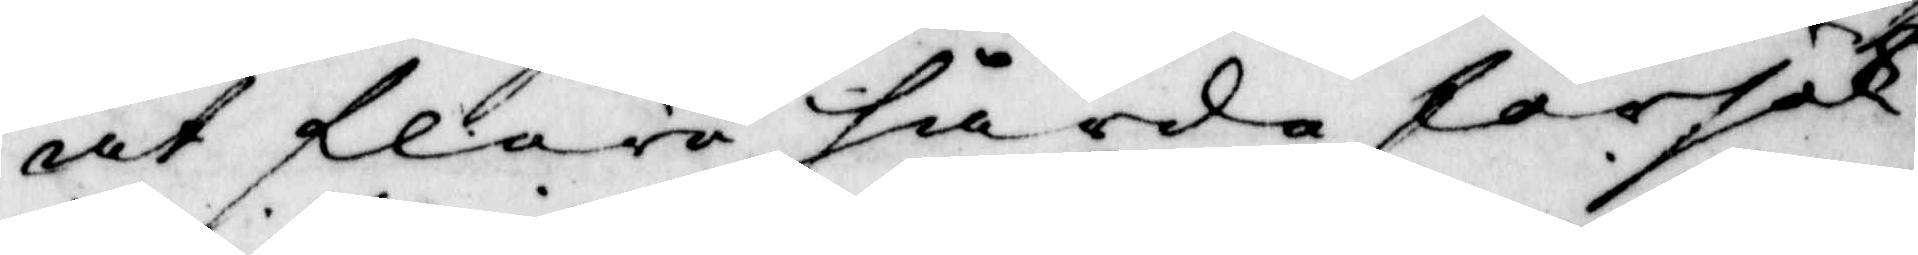at flere hårda försök
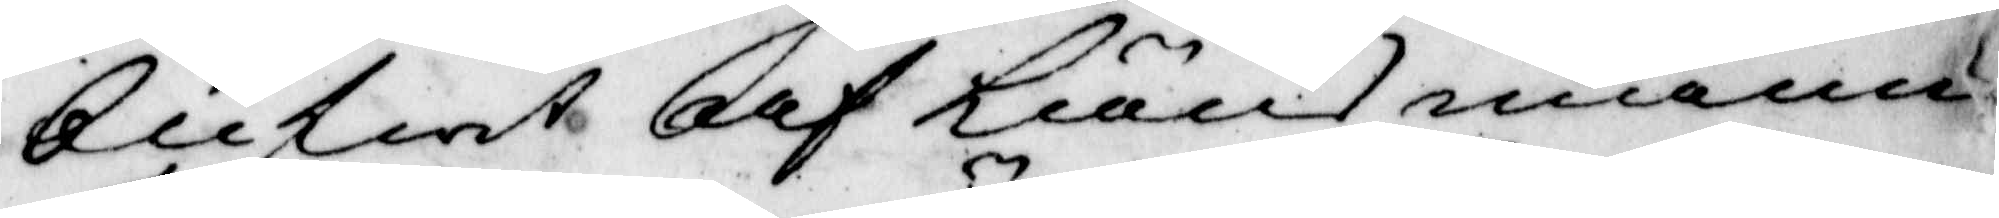blifwit af Länsmannen
